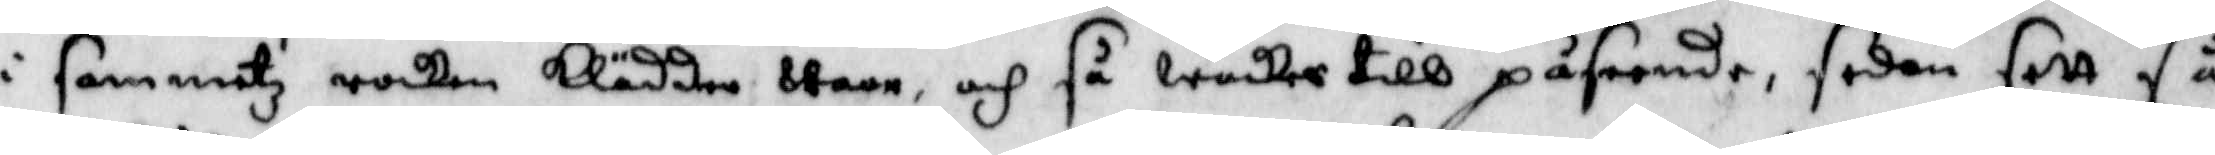i Sammetz rocken klädder wore, och så wacker till påseende, sedan sett så
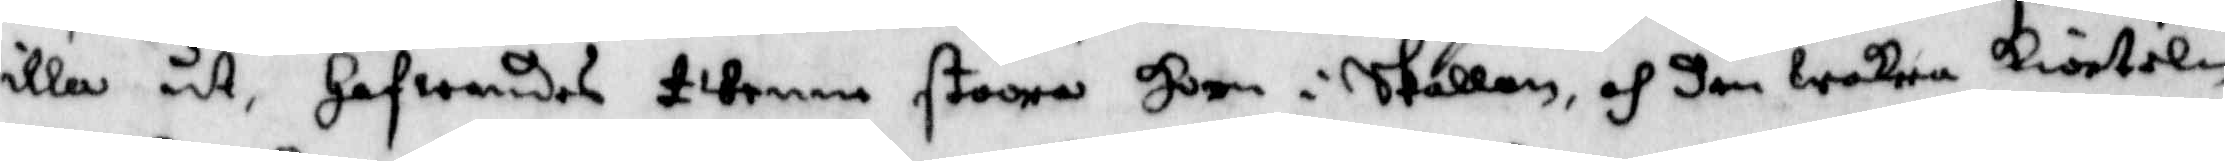illa ut, hafwandes twenne stoora Horn i skallen, och den wakra kiorteln
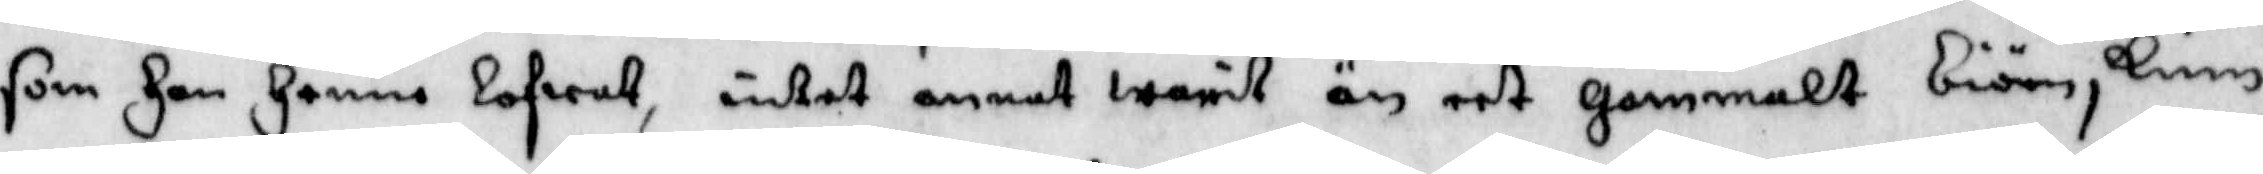som Han Henne lofwat, intet annat warit än eet gammalt biörnskinn.
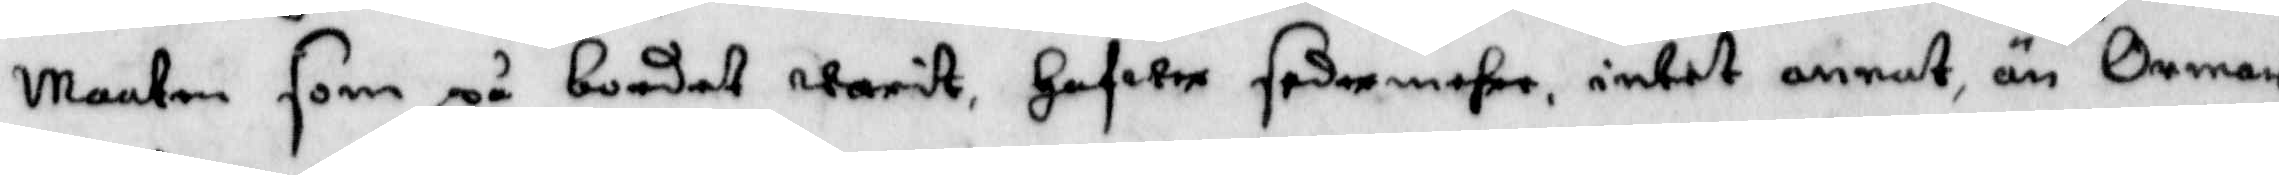Maaten som på bordet warit, Hafwer sedermehre intet annat än Ormar
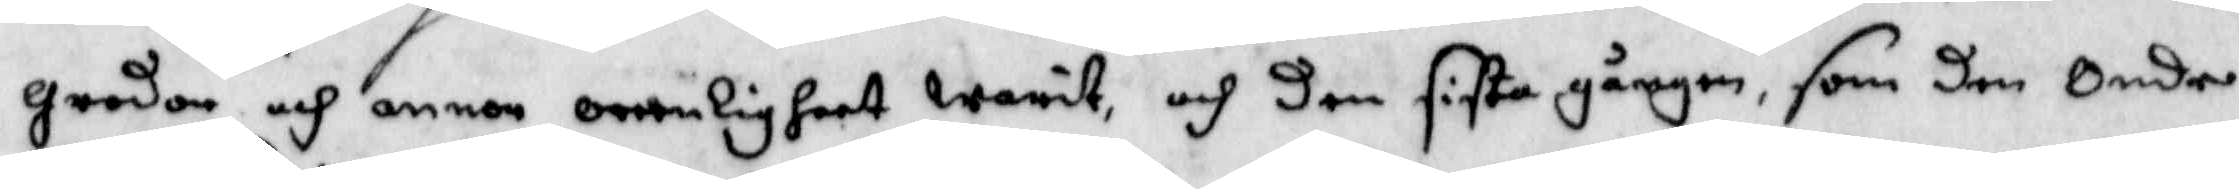grodor och annan orenligheet warit, och den sista gången som den Onde
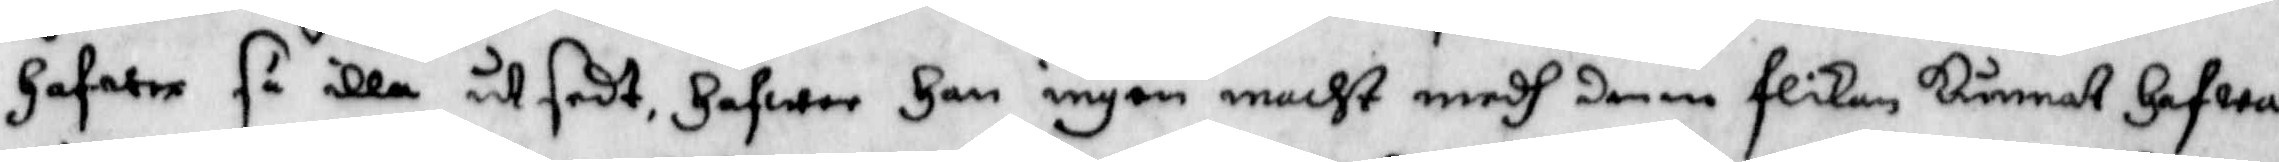Hafwer så illa utsedt, Hafwer ingen macht medh denne flikan kunnat Hafwa
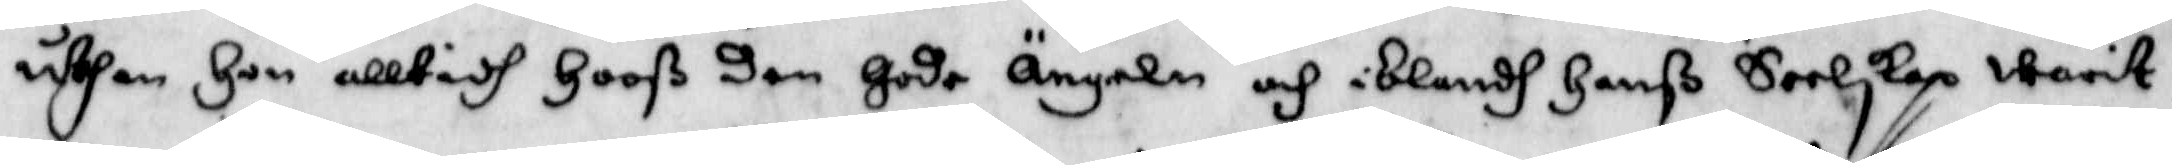uthan Hon alltidh Hoos den gode Ängeln och iblandh Hanß Seelskap warit.
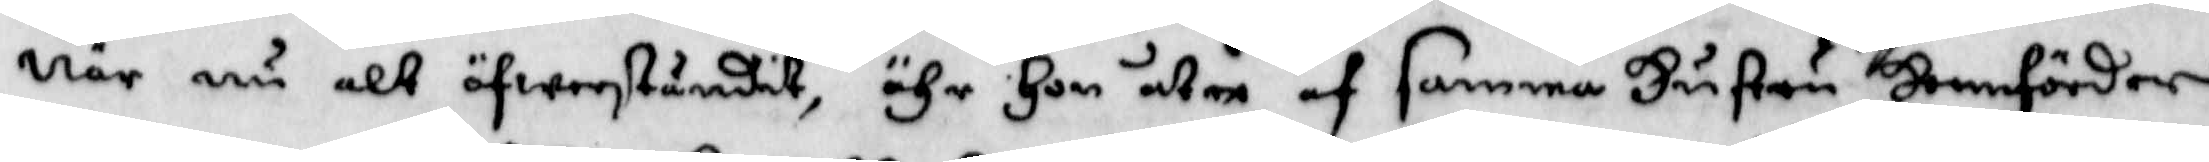När nu alt öfwerståndit ähr Hon åter af samma Hustru Hemförder
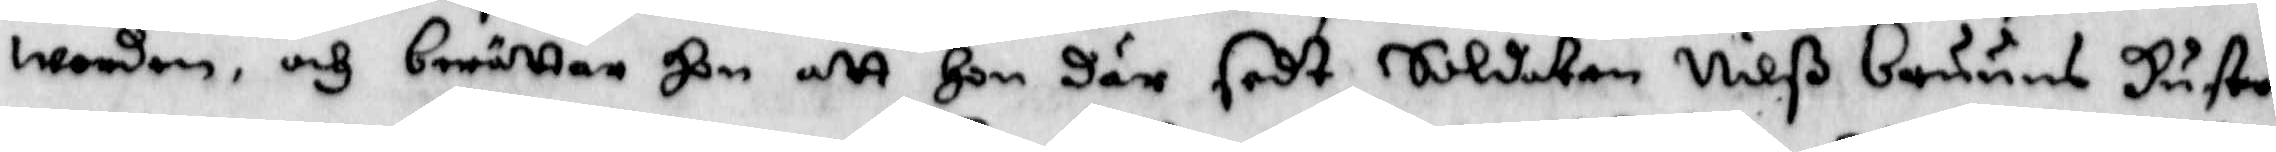worden, och berättar Hon att Hon där soldaten Nilß bruuns Hustru
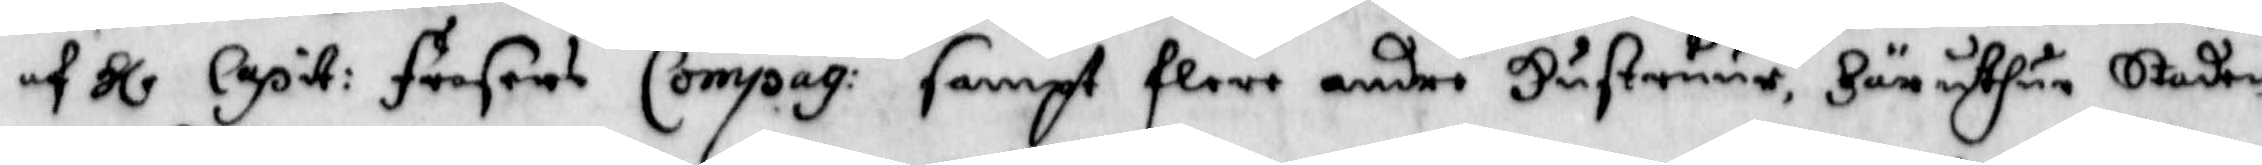af Hl Capit: Fersens Compag: sampt flere andre Hustruur Här uthun Staden
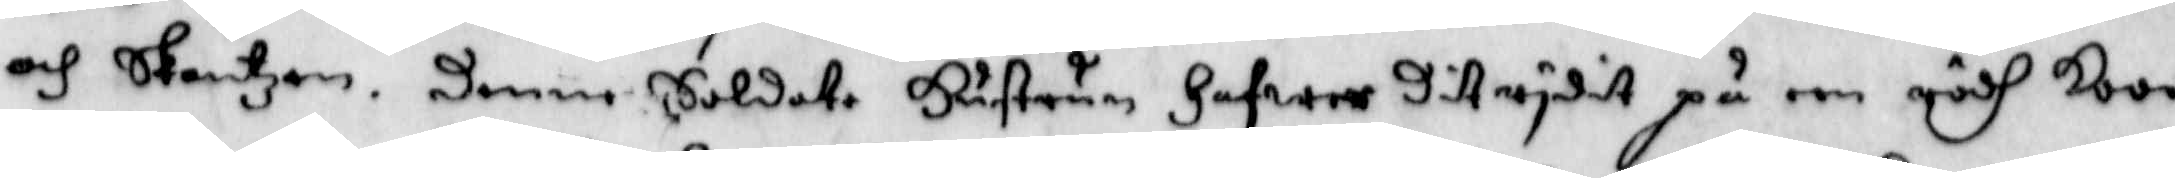och Skantzen. denne Soldate Hustrun Hafwer dit rydit på een rödh Koo
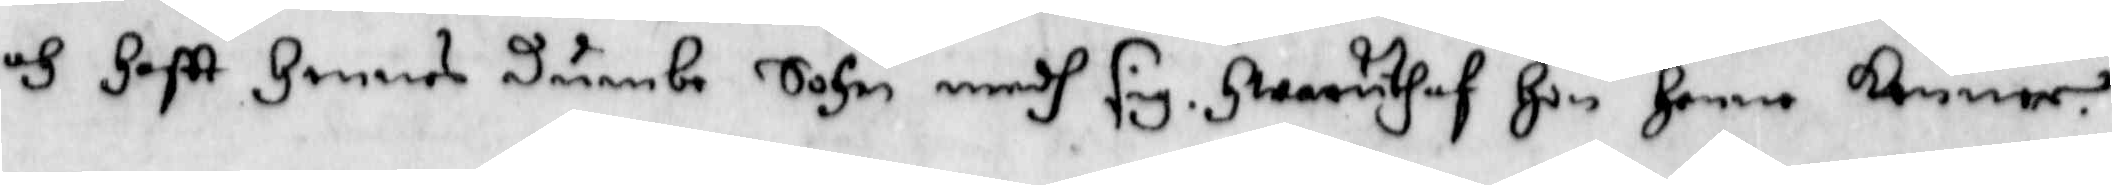och Haftt Hennes dumbe Sohn medh sig. Hwaruthaf Hon Henne kommer.
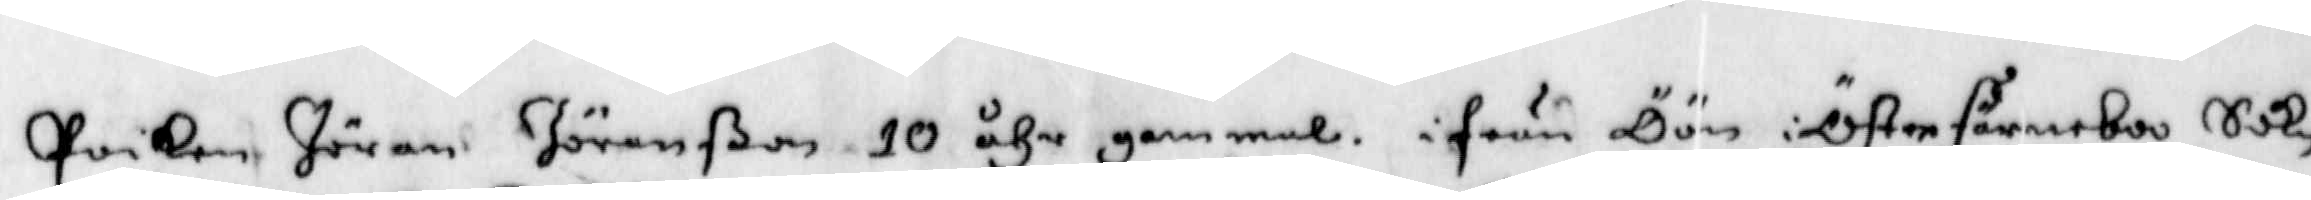Poiken Jöran Jöranßon 10 åhr gammal, ifrån Öön i Österfärneboo Sokn
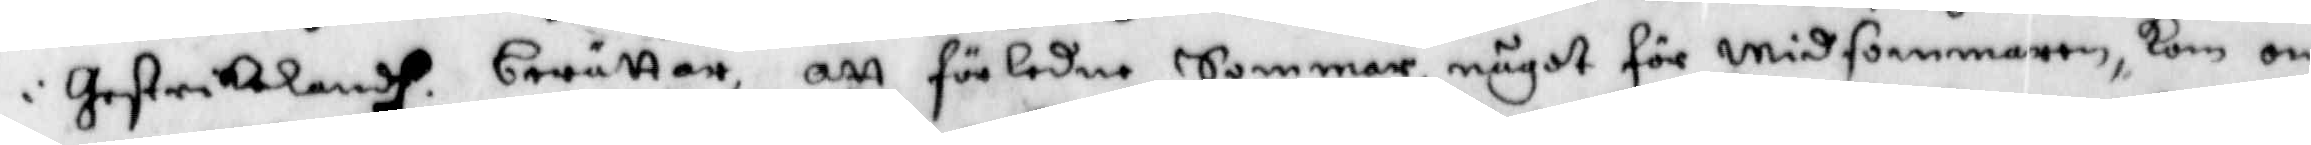i Gestriklandh berättar att förledne Sommar något för Midsommaren, kom om
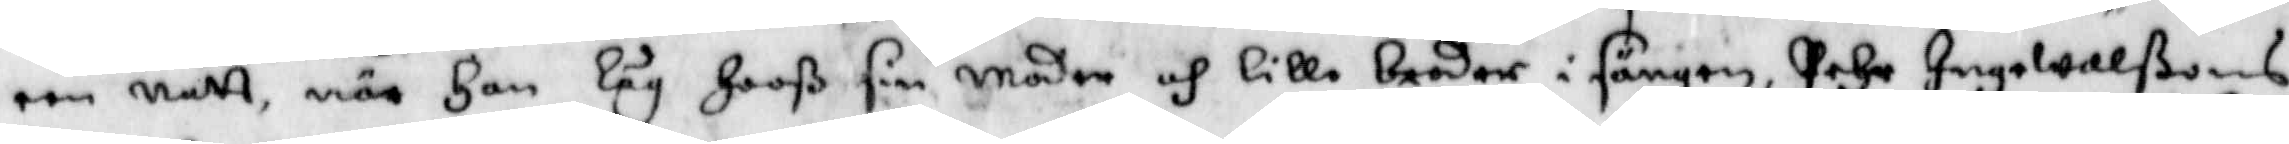een Natt när Han Låg Hoos sin moder och Lilla broder i sängen, Pehr Ingewalßons
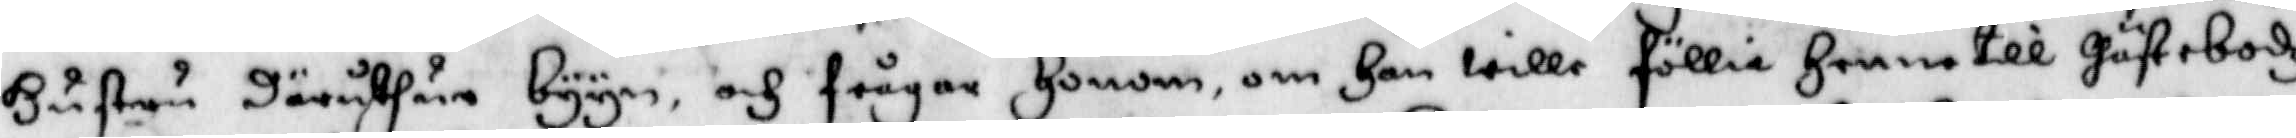Hustru däruthan byyn, och frågar Honom om Han wille föllia Henne till Gästebodh
